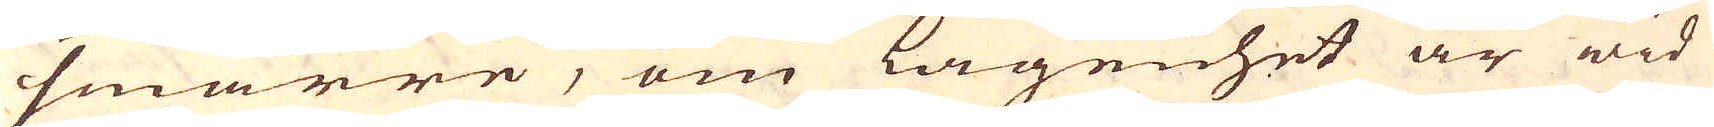smärre, om lägenhet är wid
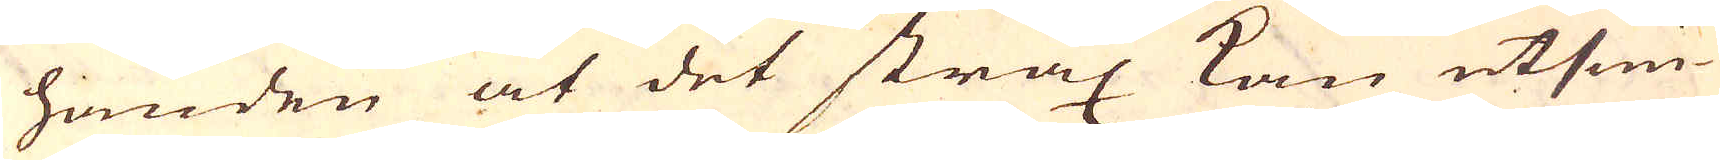handen at det strax kan utsmi-
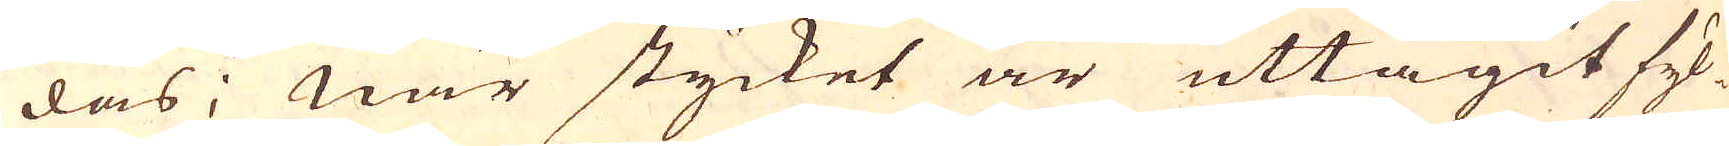das; När stycket är uttagit fyl-
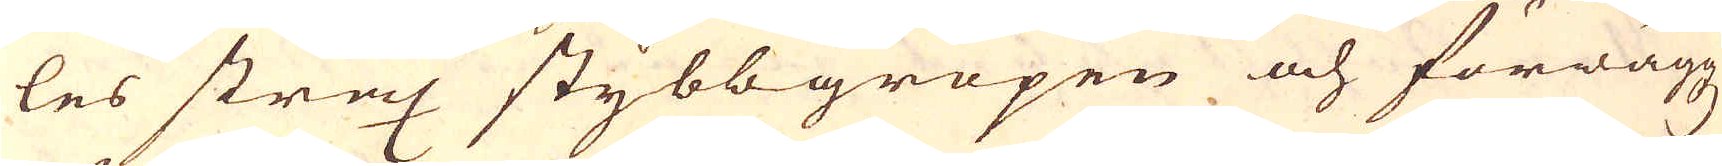les strax stybbgropen och förwäggz
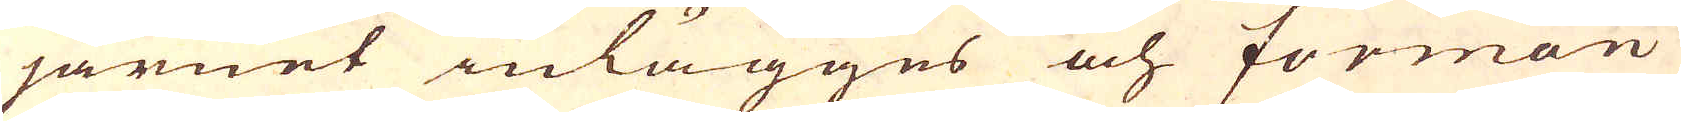järnet inlägges och forman
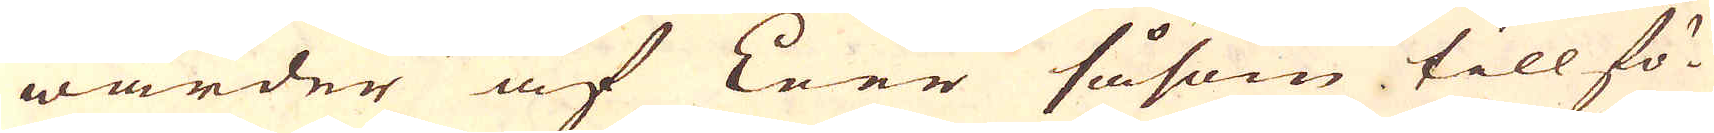warder af Leer såsom till fö-
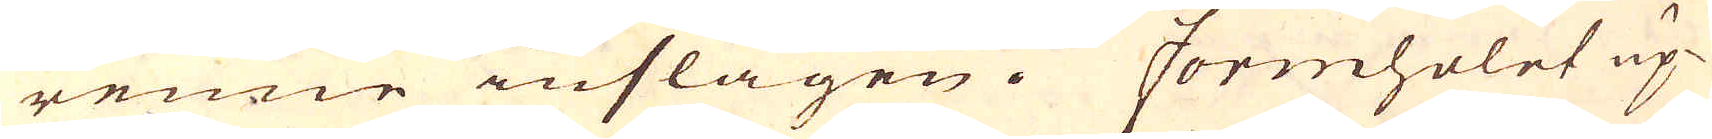renne inslagen. Formholet up-
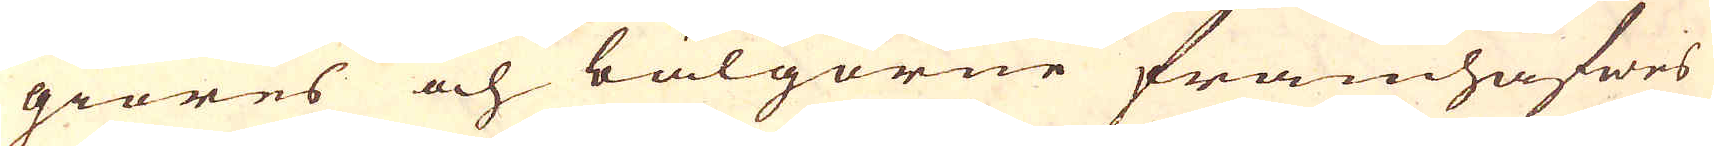giöres och bälgorne framhafwes
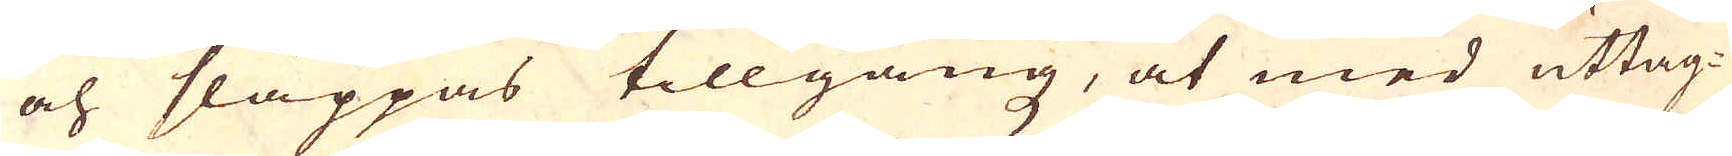och släppas tillgång, at med uttag-
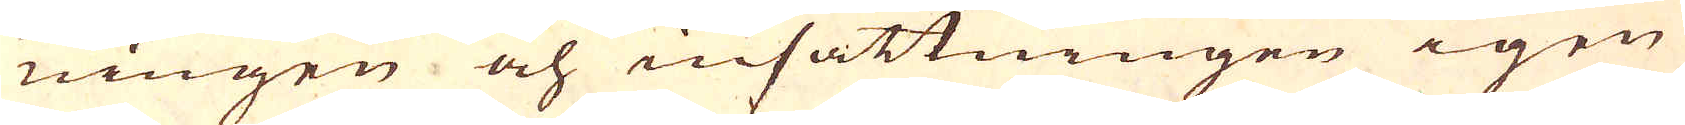ningen och insättningen igen
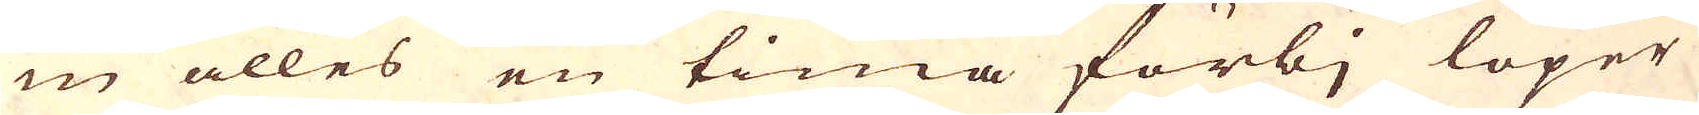in alles en tima förbj löper
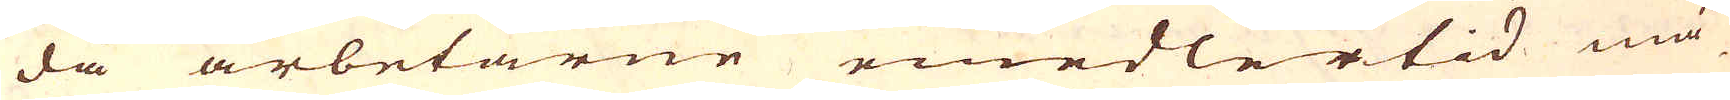då arbetarne emedlertid må-
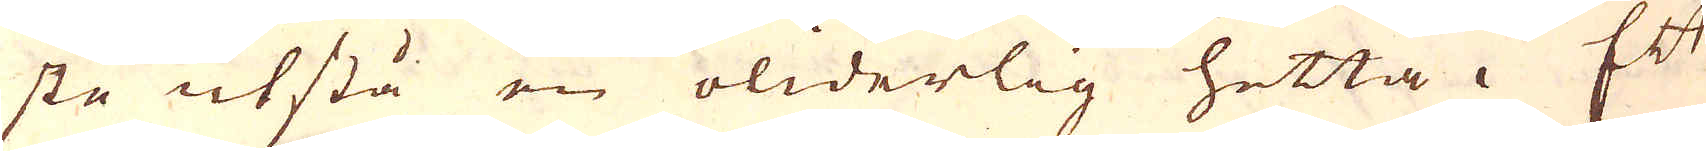sta utstå en oliderlig hetta. Ett
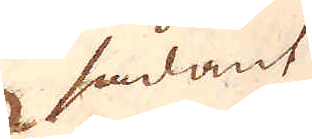sådant
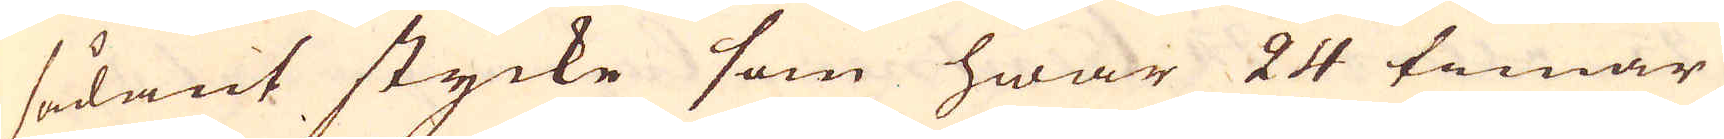sådant stycke som hwar 24 timar
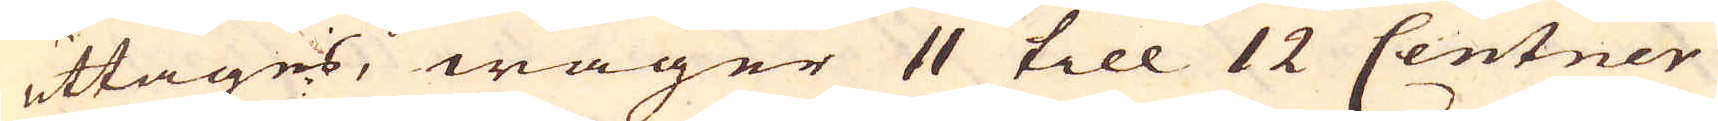uttages, wäger 11 till 12 Centner
